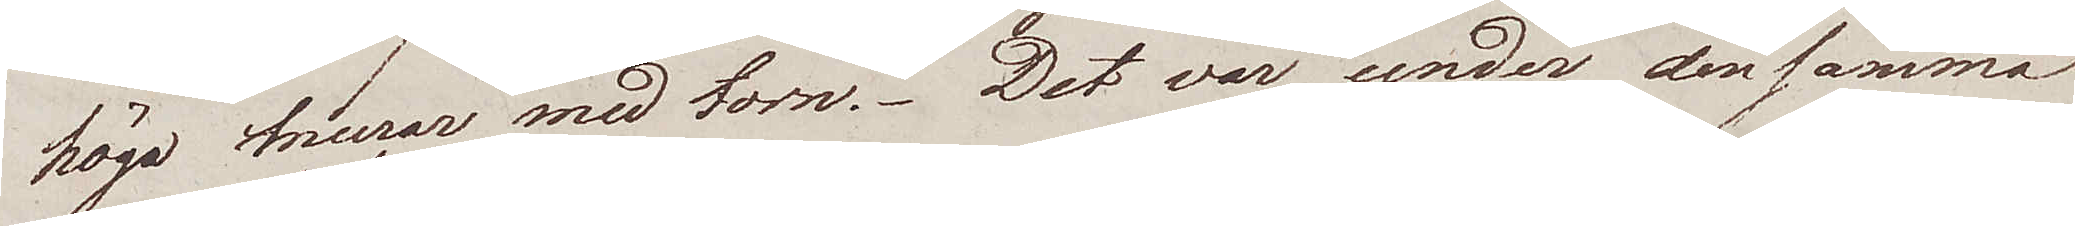höga murar med torn. Det var under densamma
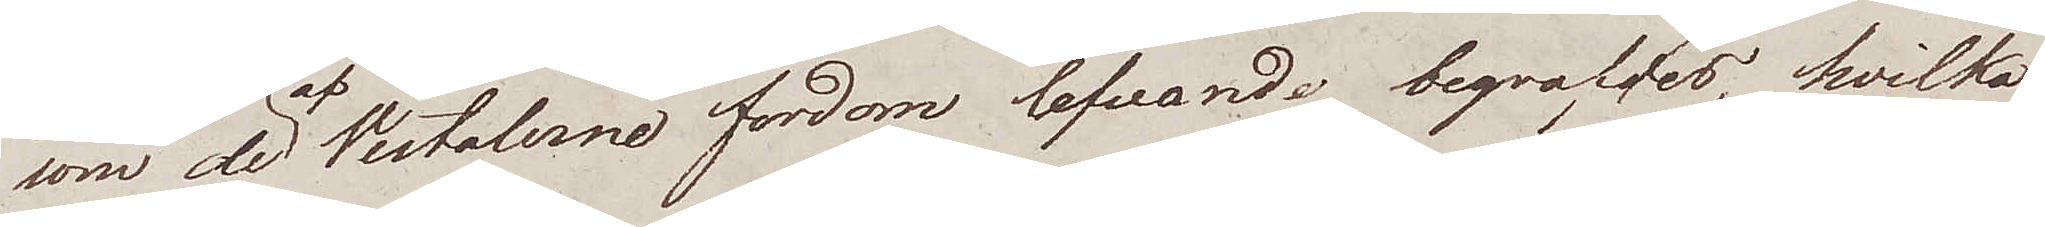som de af Vestalerne fordom lefvande begrafdes, hvilka
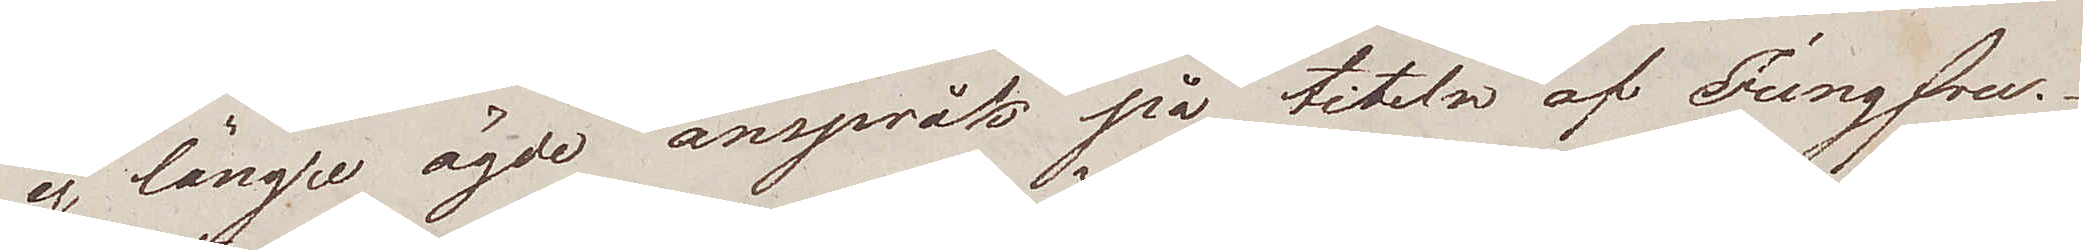ej längre ägde anspråk på titeln af Jungfru.
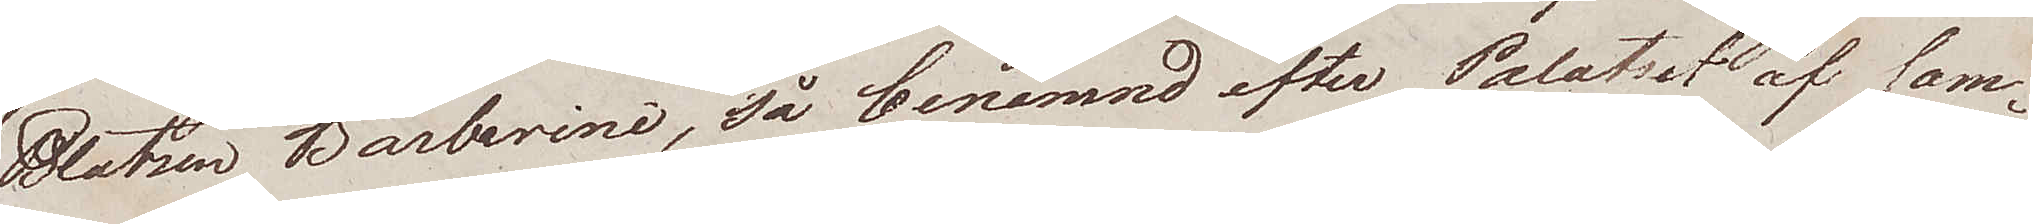Platsen Barberini, så benämnd efter Palatset af sam¬
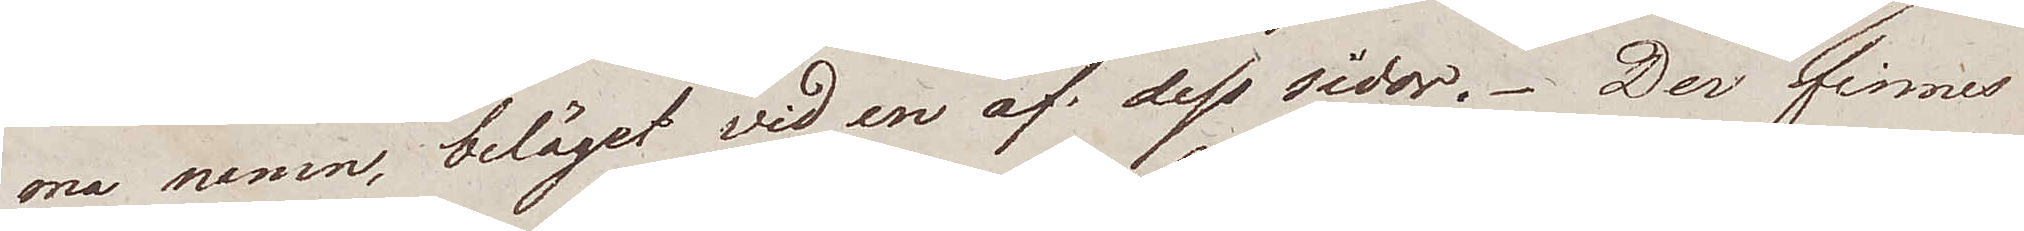ma namn, beläget vid en af dess sidor. Der finnes
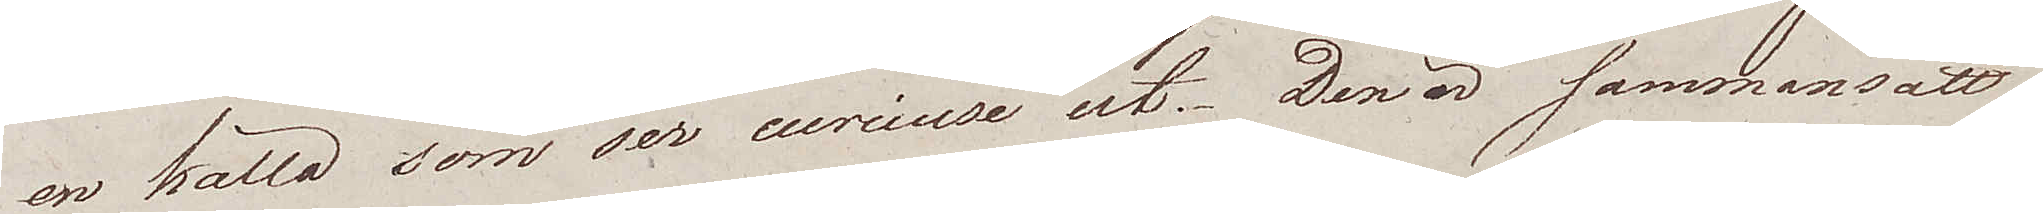en källa som ser curiuse ut. Den är sammansatt
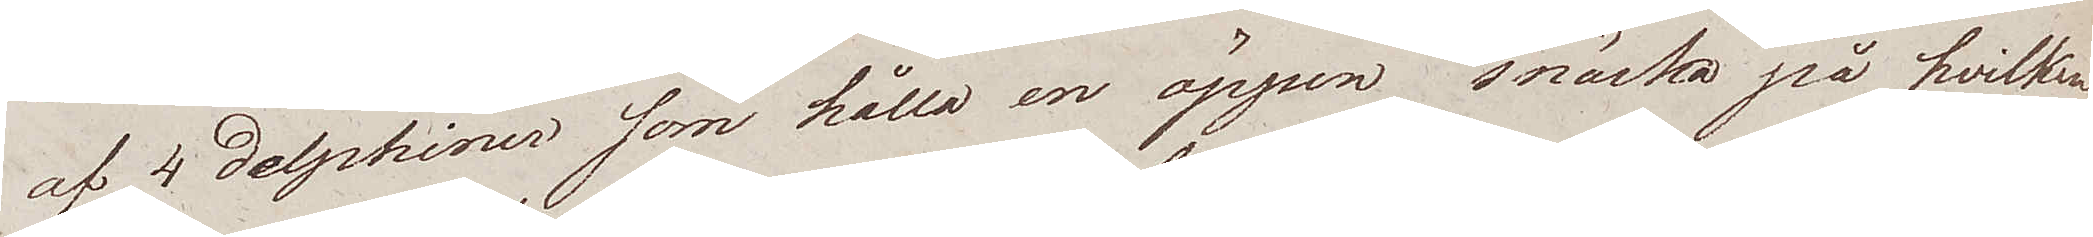af 4 delphiner som hålla en öppen snäcka på hvilken
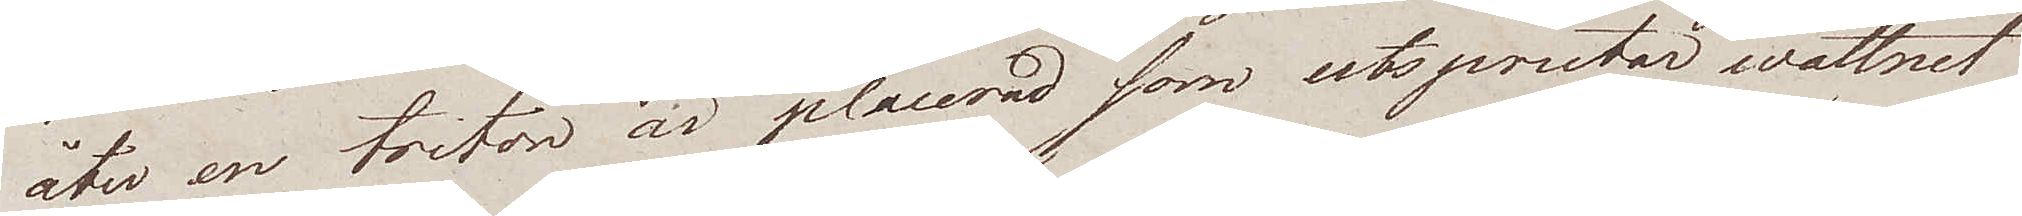åter en triton är placerad som utsprutar wattnet
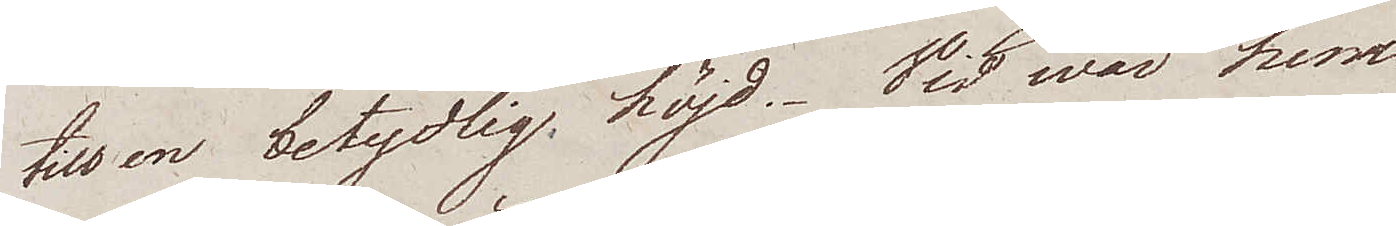till en betydlig, höjd. Vid wår hem¬
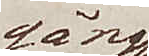gång
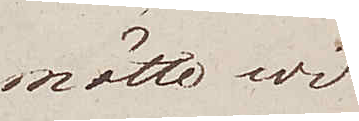mötte wi
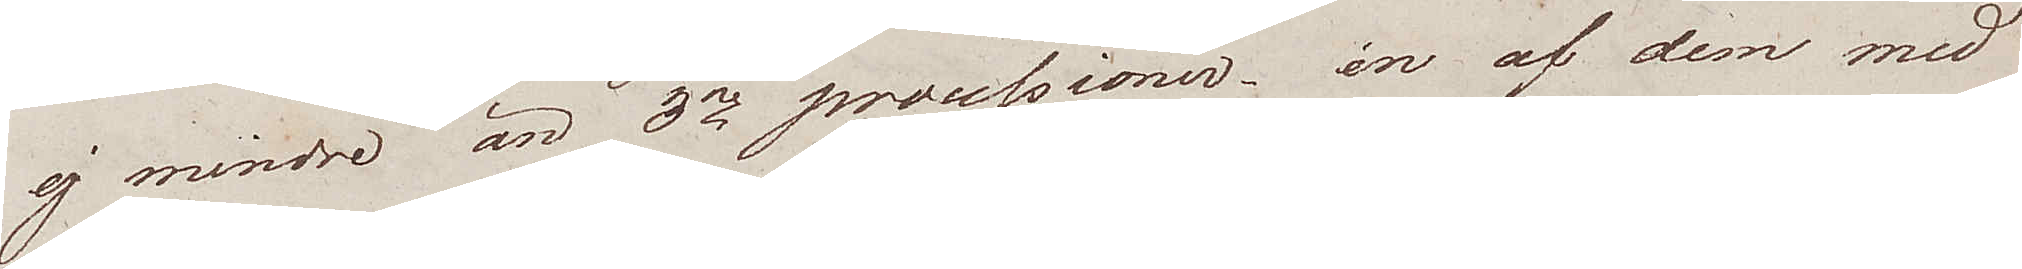ej mindre än 3ne processioner – en af dem med
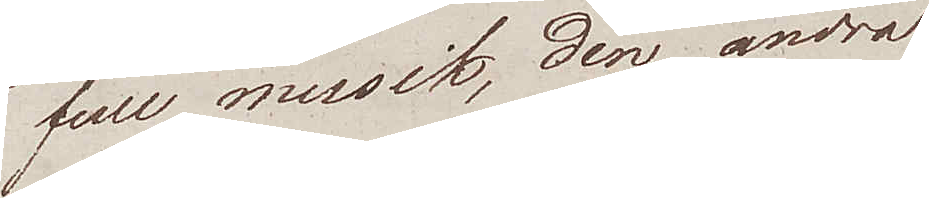full musik, den andra
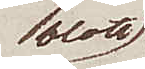blott
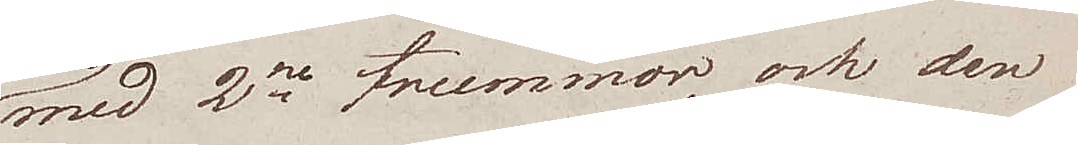med 2ne trummor, och den
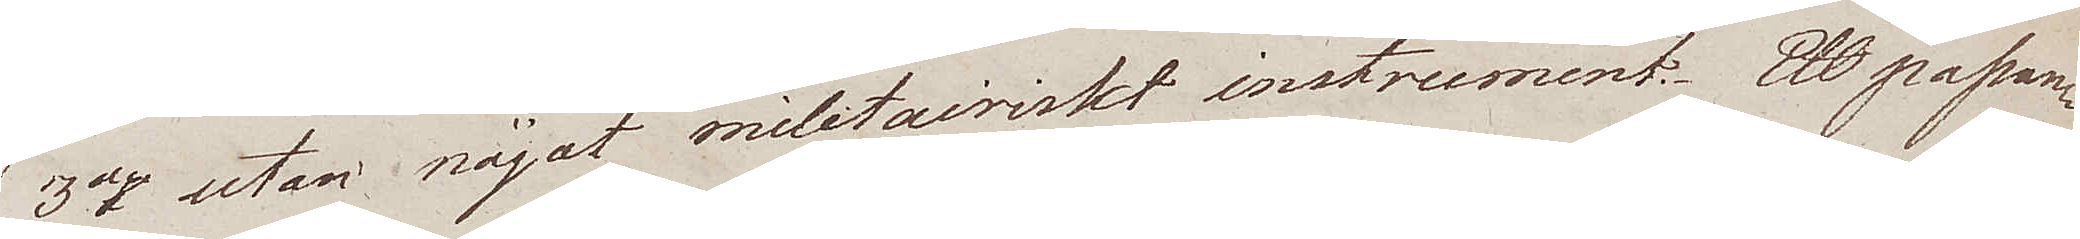3dje utan något militairiskt instrument. Ett passan¬
